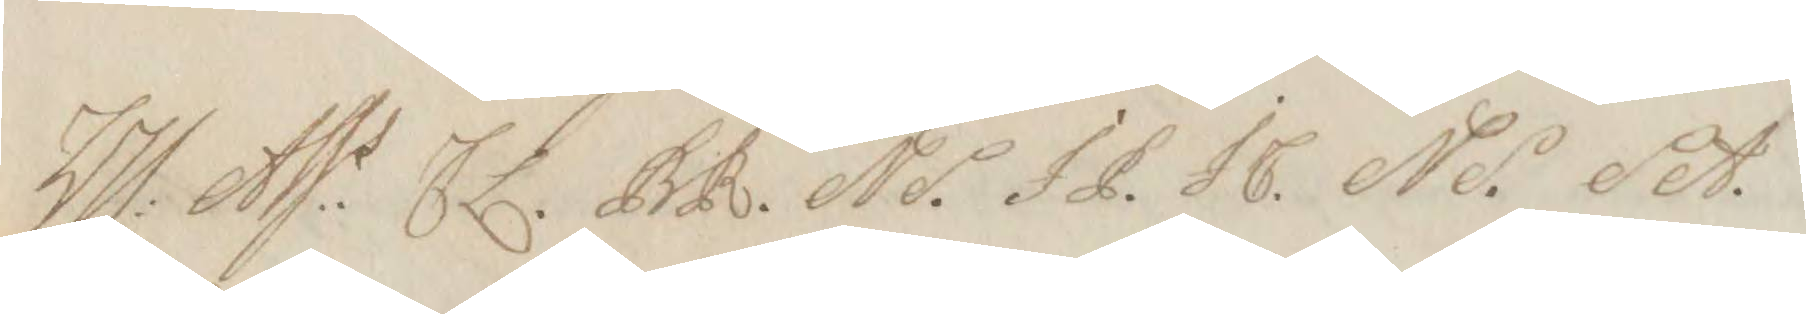Hl: Ass.s EL. BR. NS. IP. IC. NS. SA.
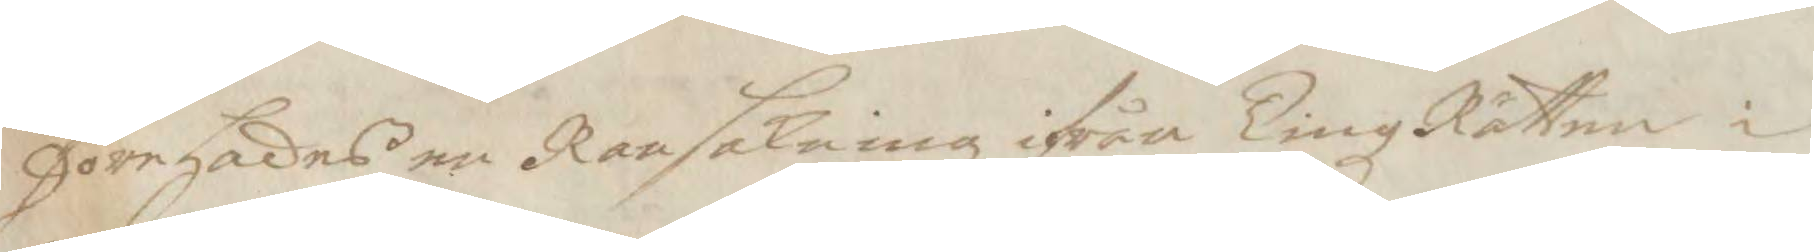Föregades en Ransakning ifrån TingzRätten i
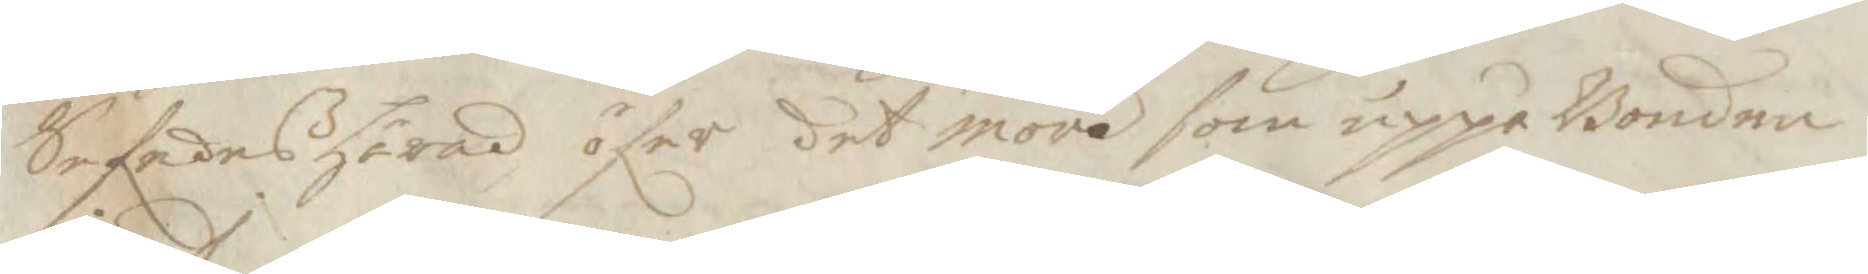Sefedes härad öfer det mord som uppå Bonden
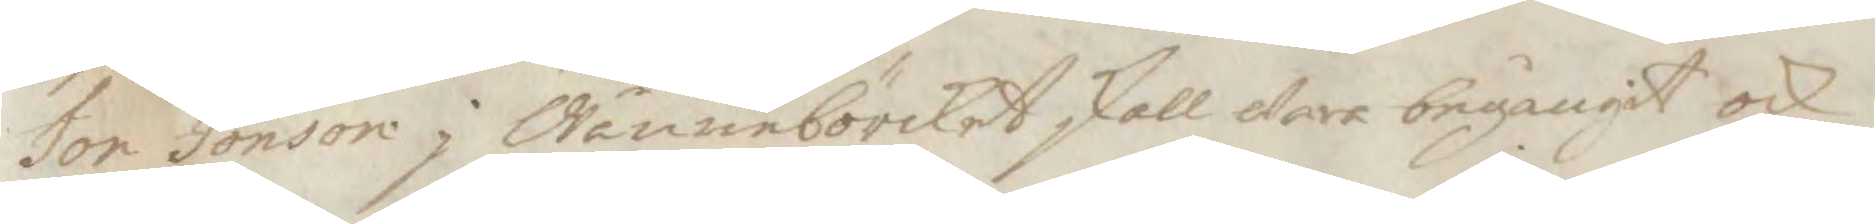Jon Jonson j Wännebörcket skall wara begångit och
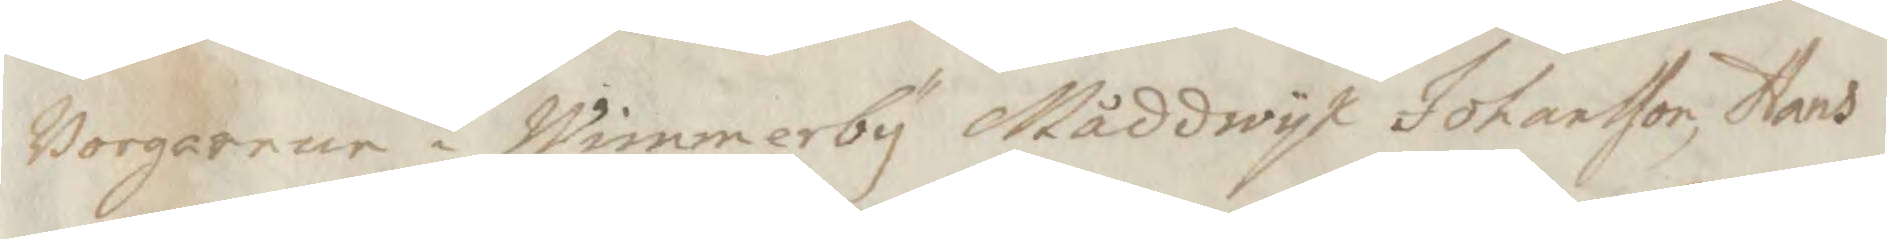Borgarne i Wimmerby Måddwyk Johansson, Hans
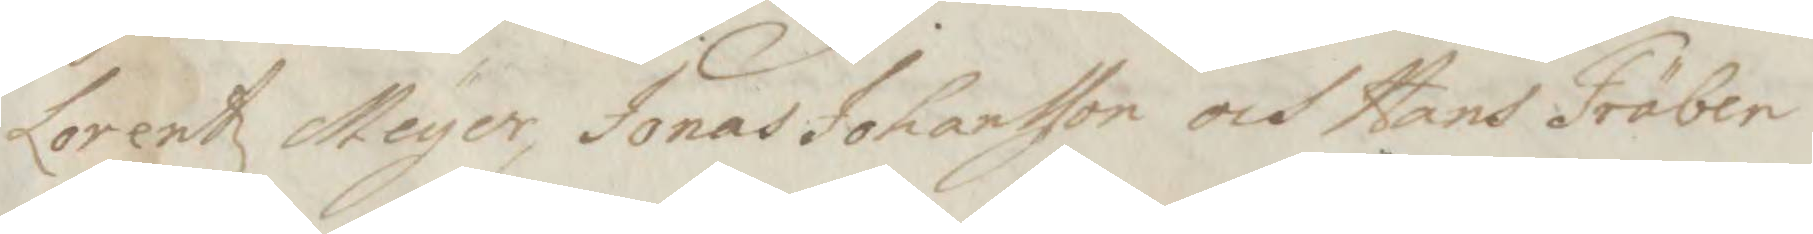Lorentz Meyer, Jonas Johansson och Hans Träben
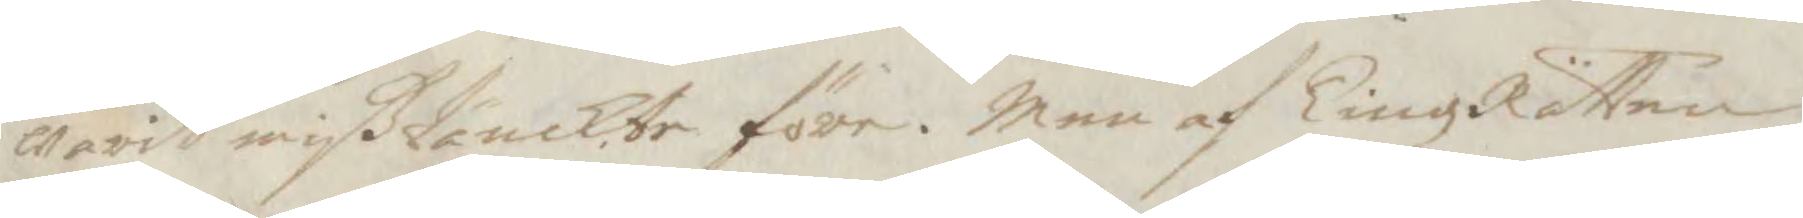warit mißtänckte före. Men af TingzRätten
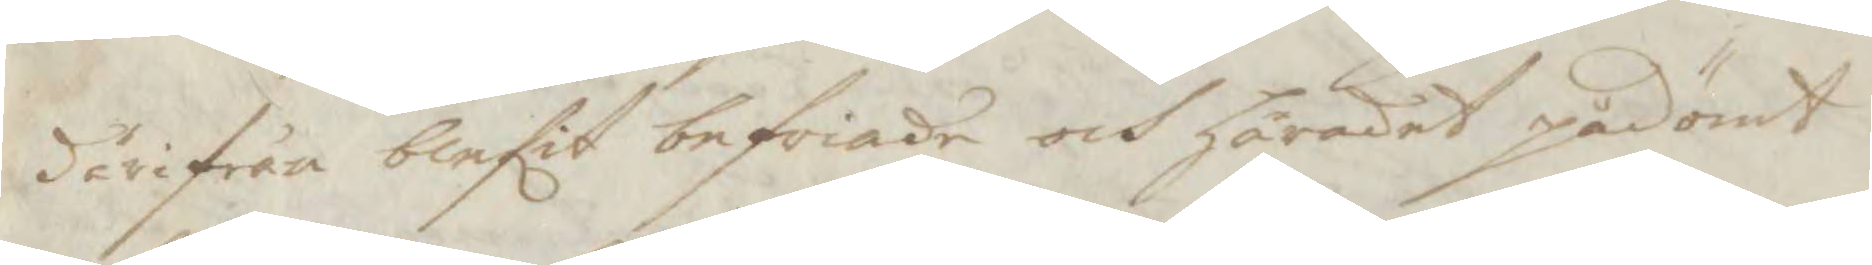därifrån blefit befriade och häradet pådömt
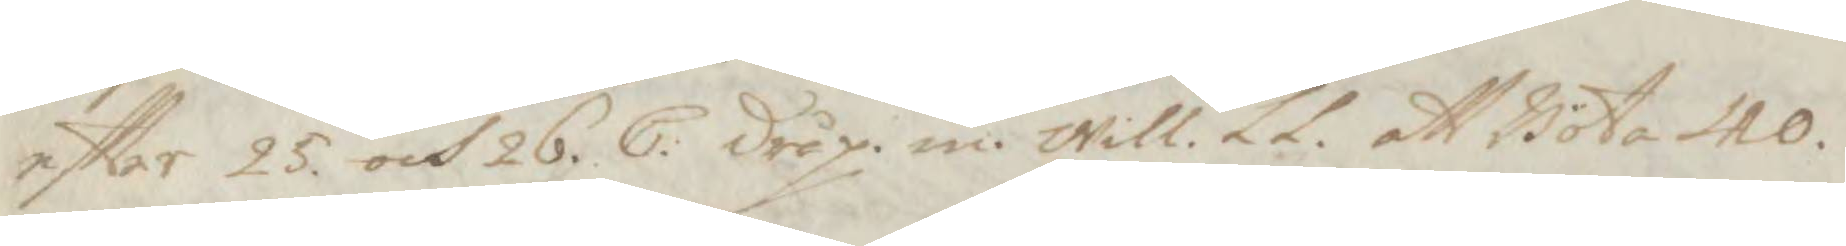eftter 25. och 26. C: dråp. in. will. LL. att Böta 40
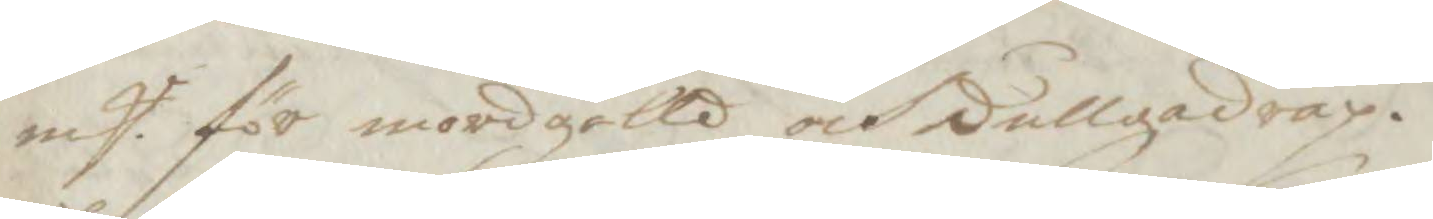mP. för mordgälld och dullgadråp.
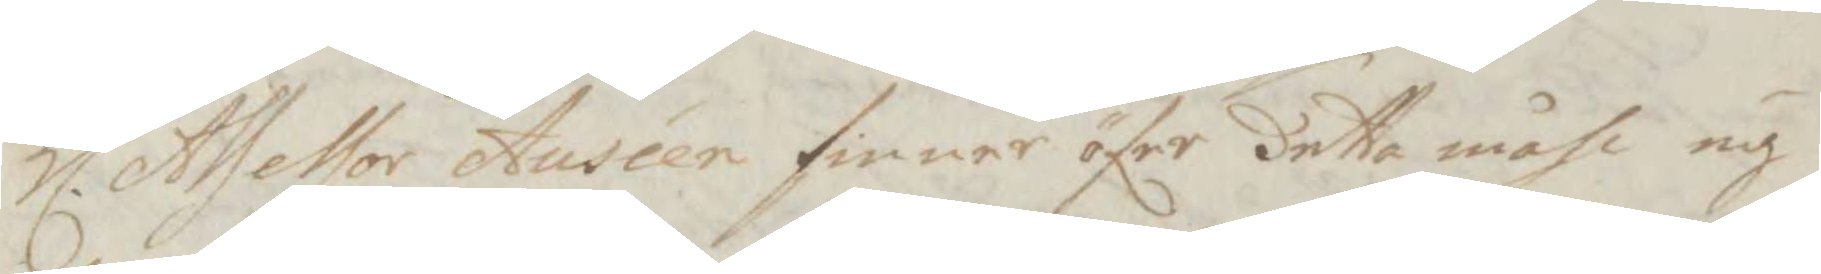Hl. Assessor Auséen finner öfer detta måhl ey
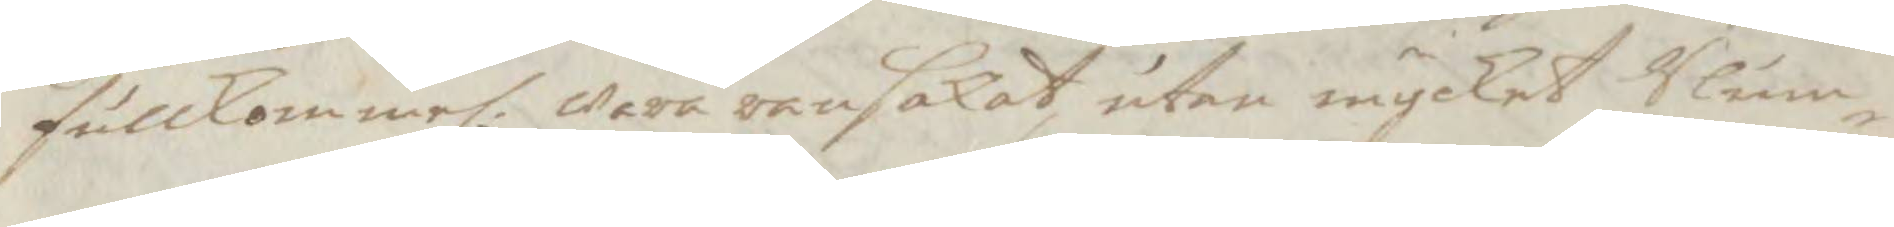fullkommel: wara ransakat utan mycket Slum¬
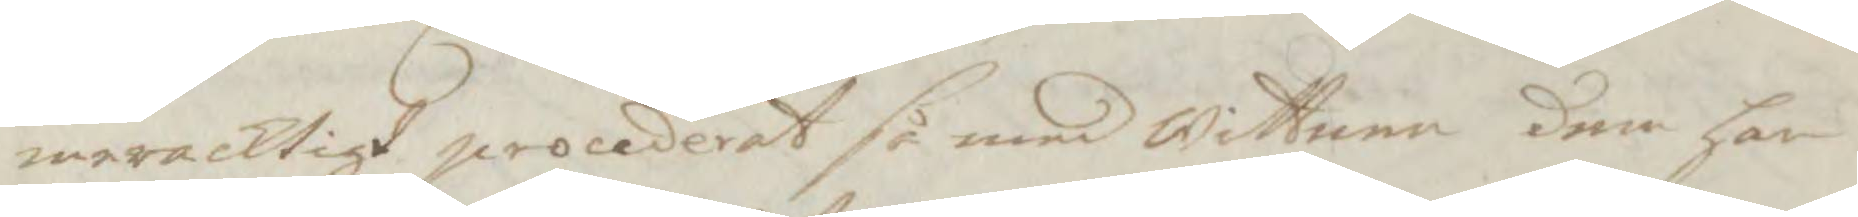meracktigt procederat så med Wittnen dem har
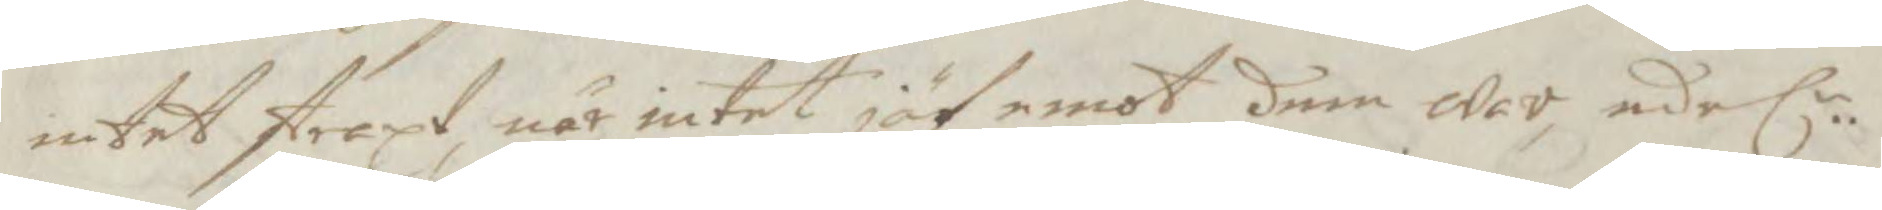intet straxt, när intalt jäf emot dem war, edel.n
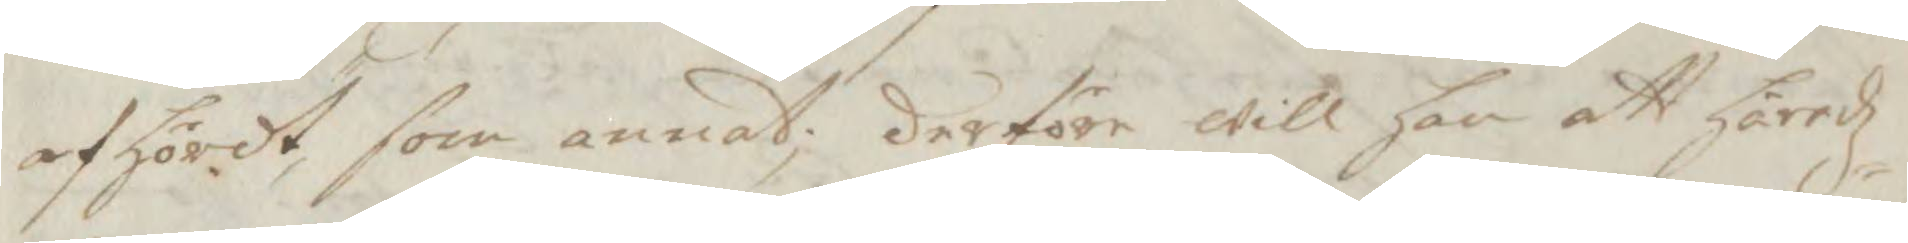afhördt, som annat; derföre will han att Häredz¬
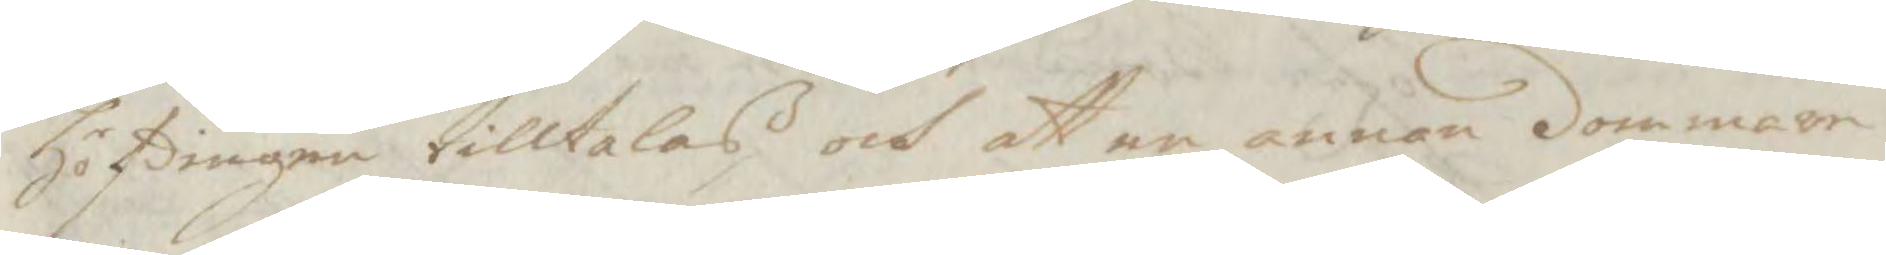Höfdingen tilltalas och att en annan dommare
